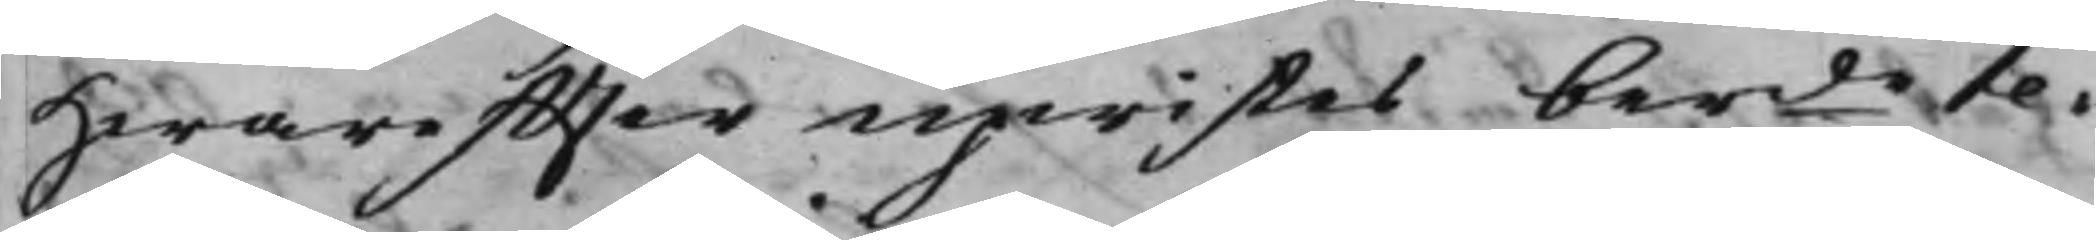Hwareffter upwistes berde te¬
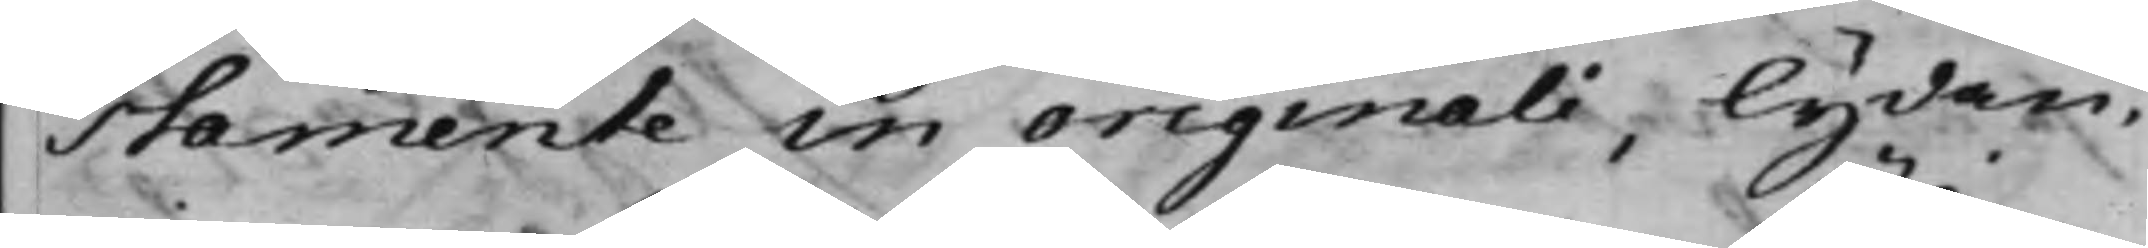stamente in originali, lydan¬
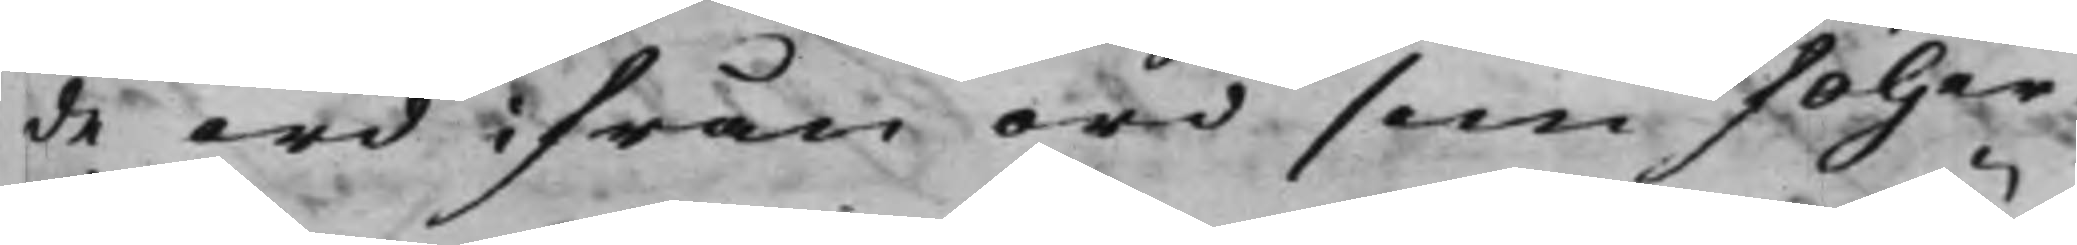de ord ifrån ord som följer.
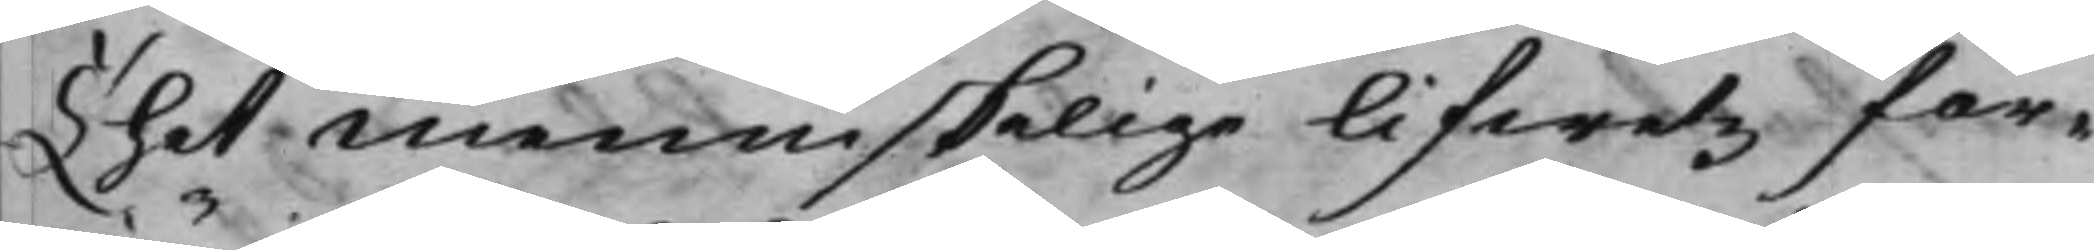Thet Menniskelige lifwetz för¬
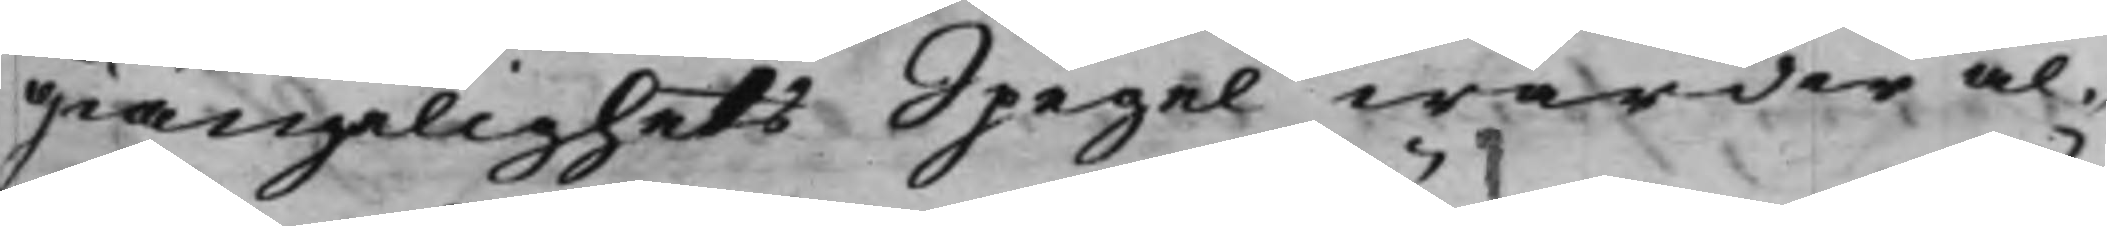giänglighets Spegel warder al¬
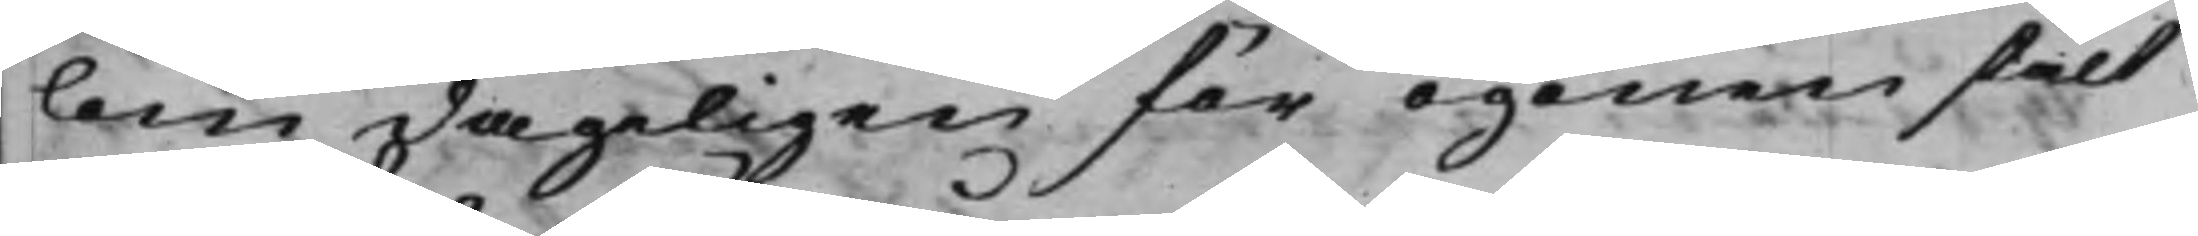lom dageligen för ögonen stält
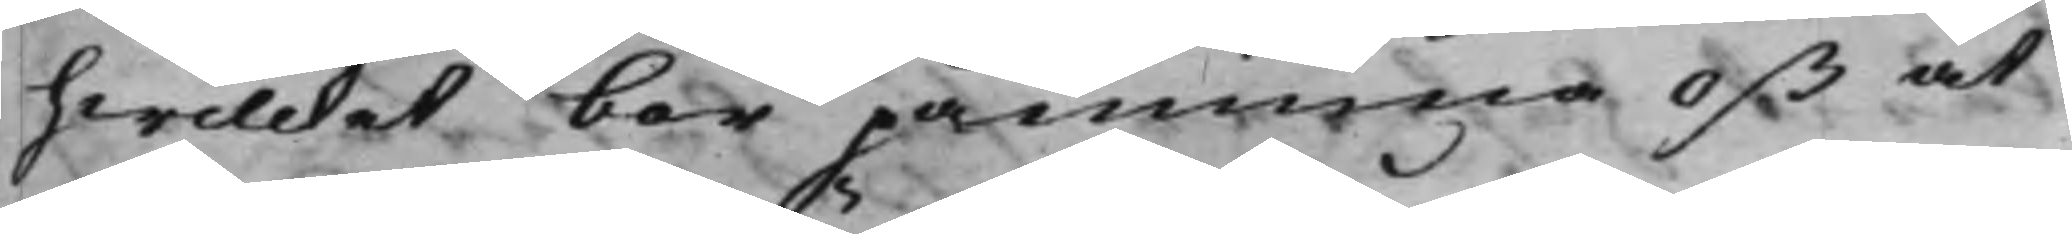hwilcket bör påminna oß at
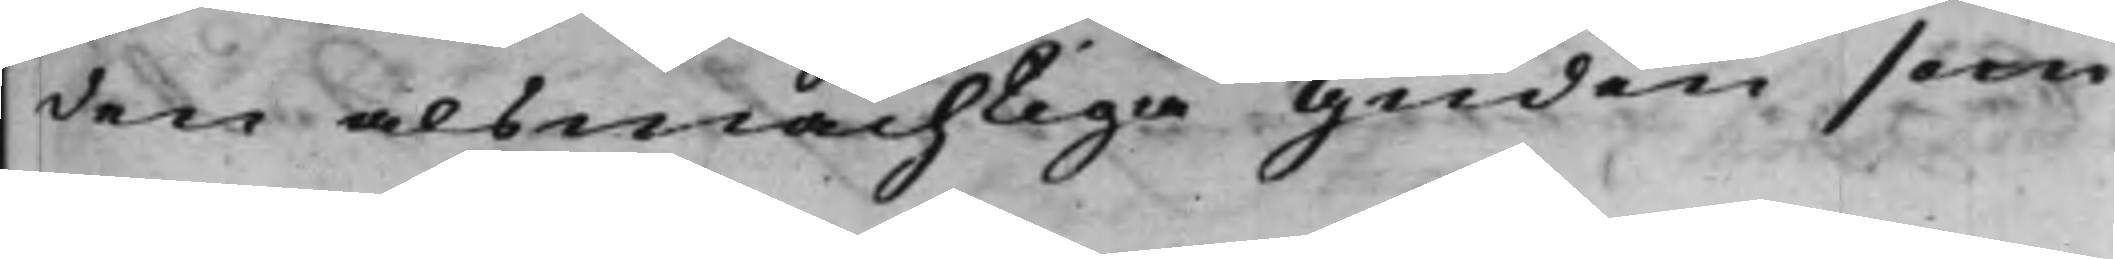den alsmächtiga Guden som
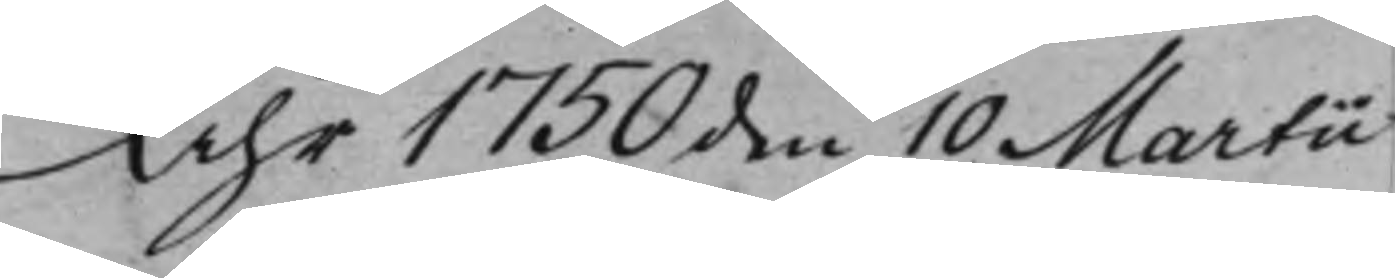Åhr 1750 den 10 Martii
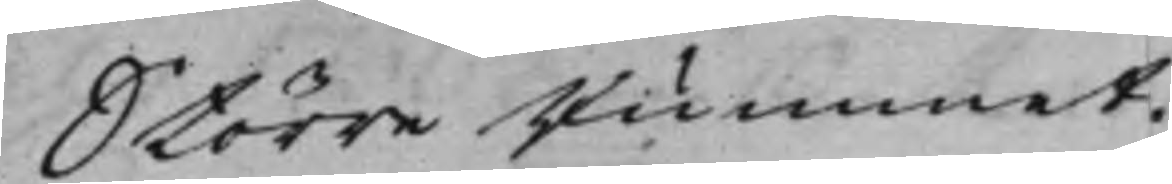Större Rummet.
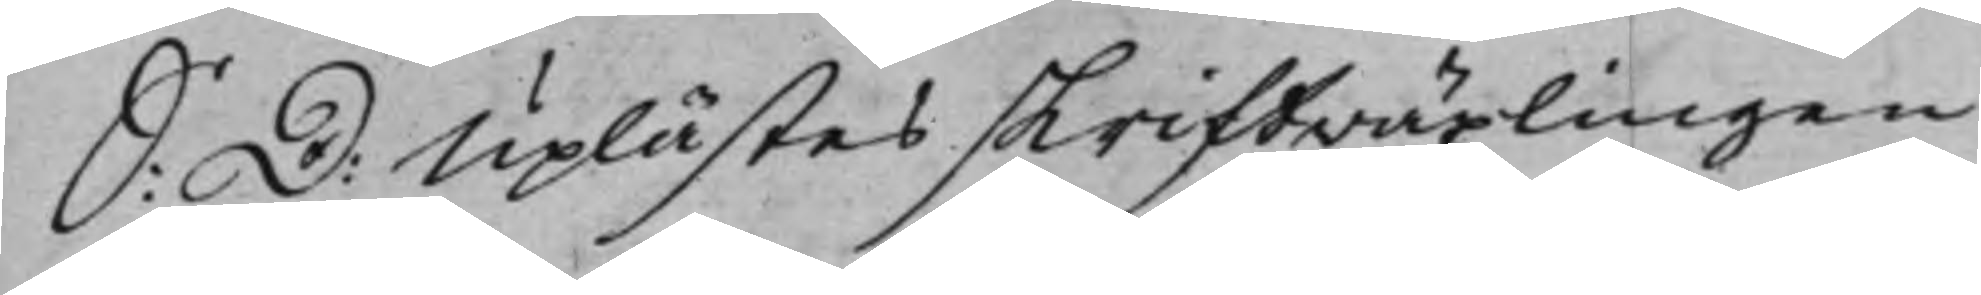S: D: Uplästes skriftwäxlingen
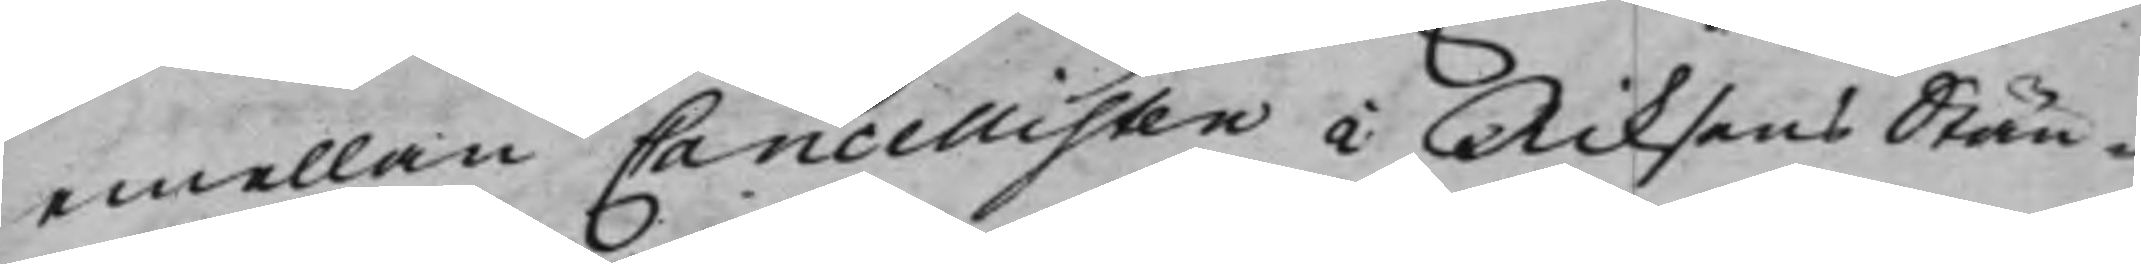emellan Cancellisten i Riksens Stän¬
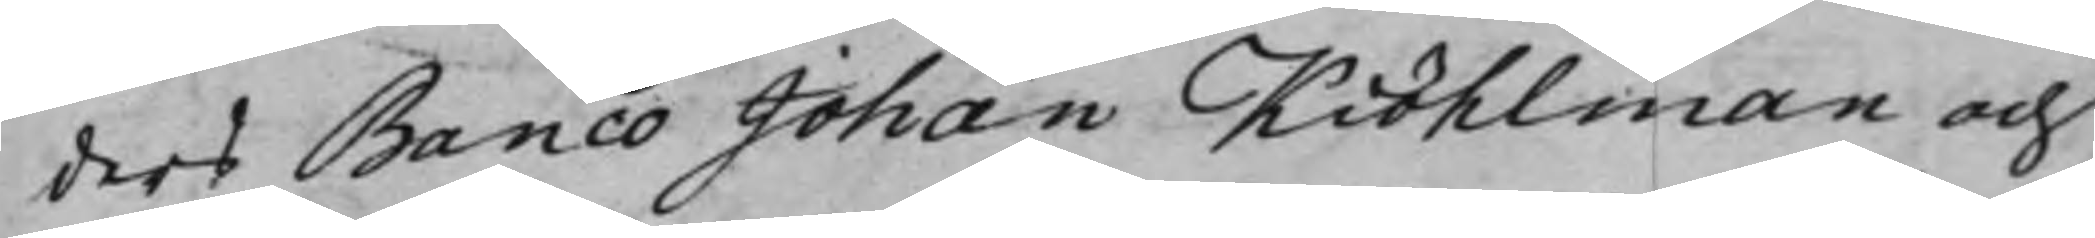ders Banco Johan Kiöhlman och
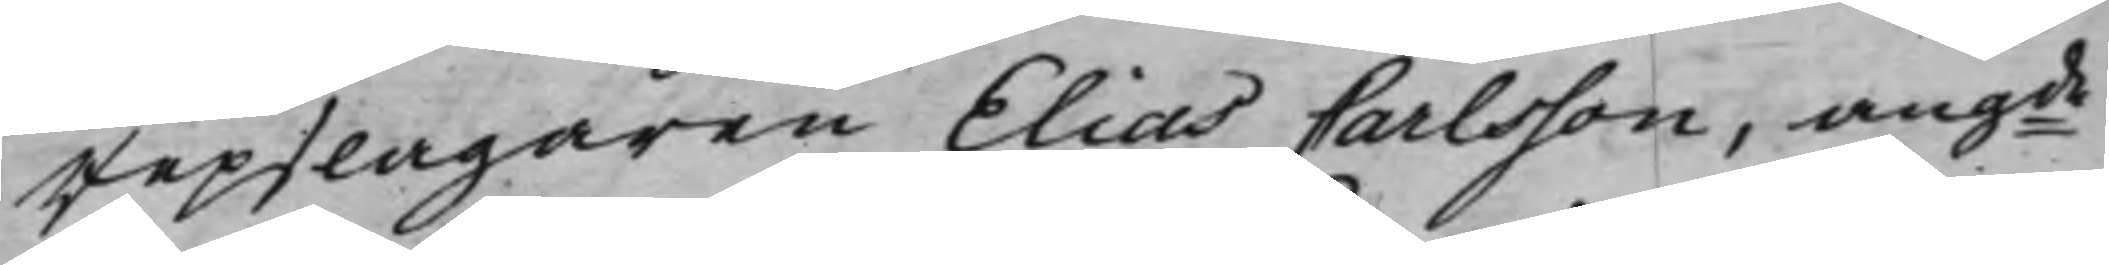repslagaren Elias Carlsson, angde
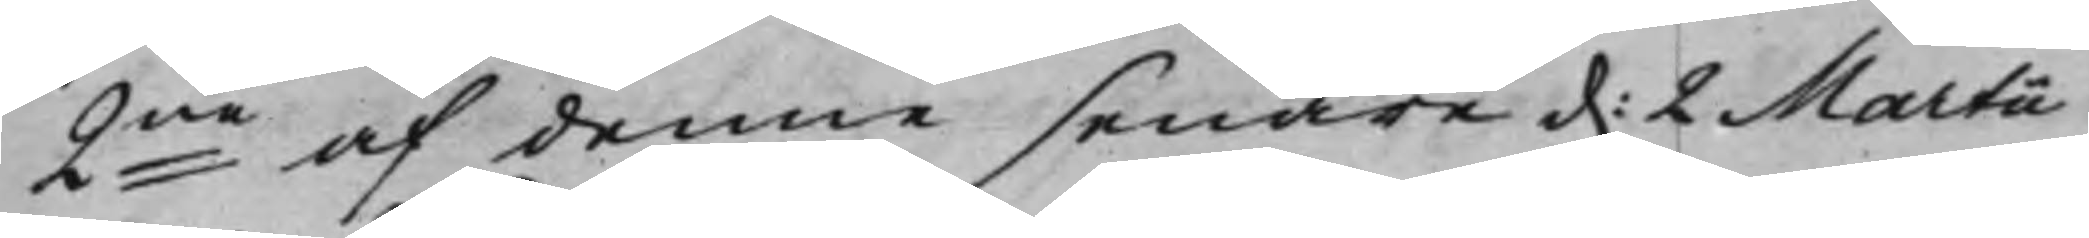2ne af denne senare d. 2 Martii
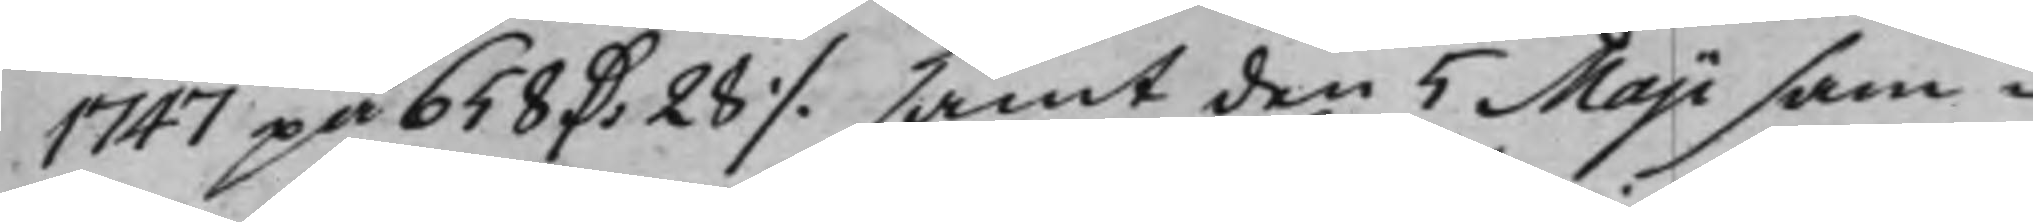1747 på 658 D: 28 ./. samt den 5 Maji sam¬
